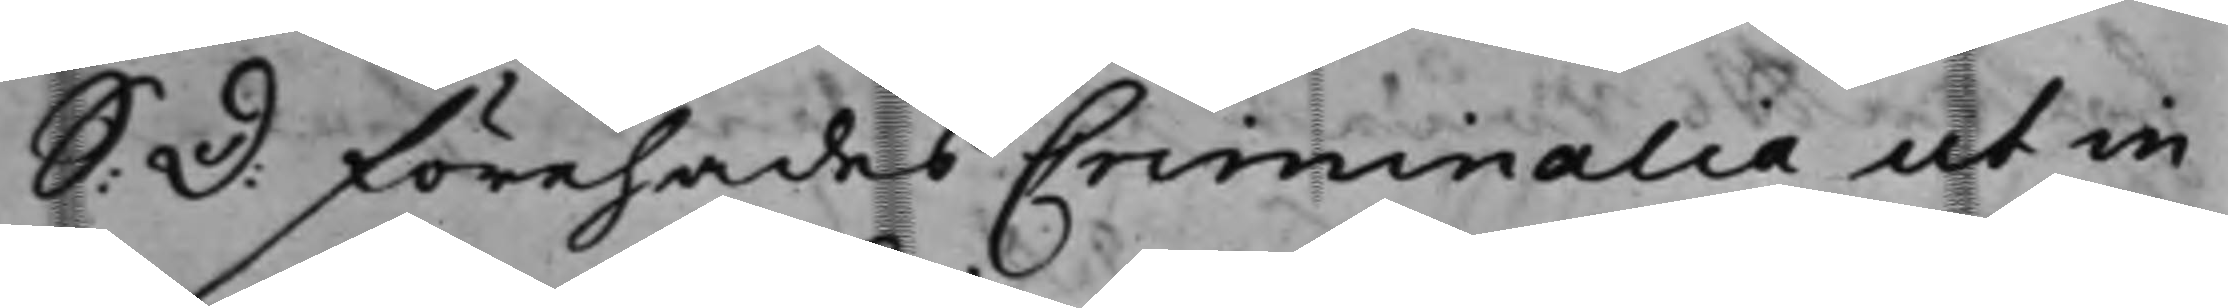S: D: Förehades Criminalia ut in
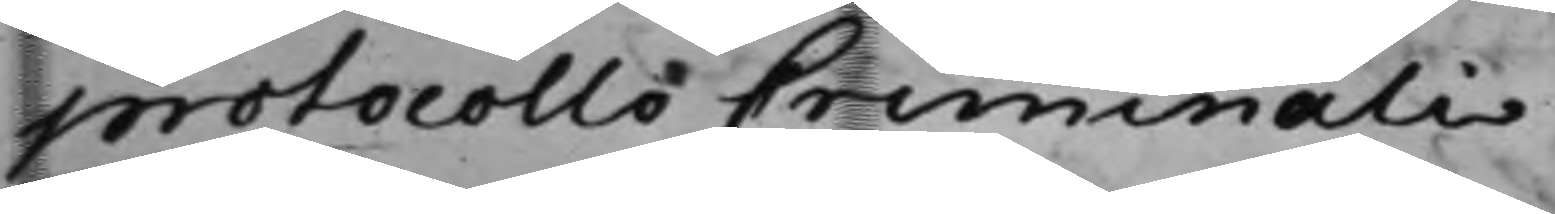protocollo Criminali.
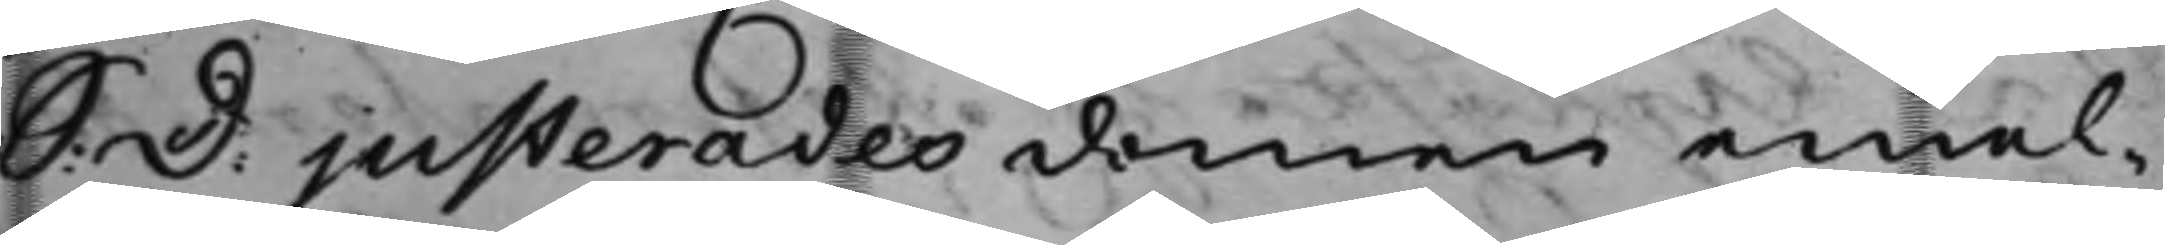S: D: justerades domen emel¬
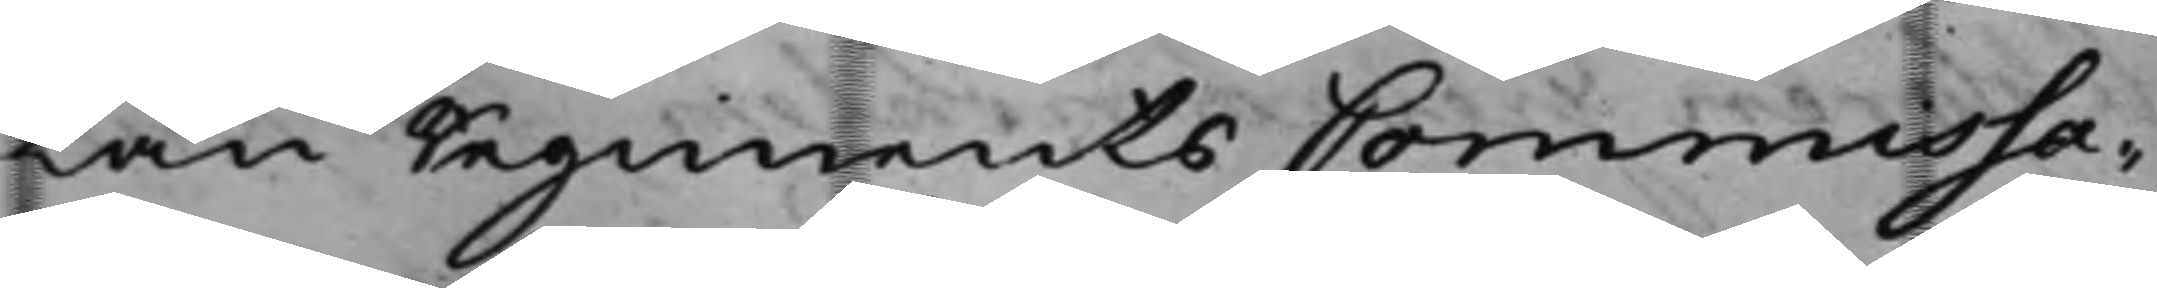lan Regements Commissa¬
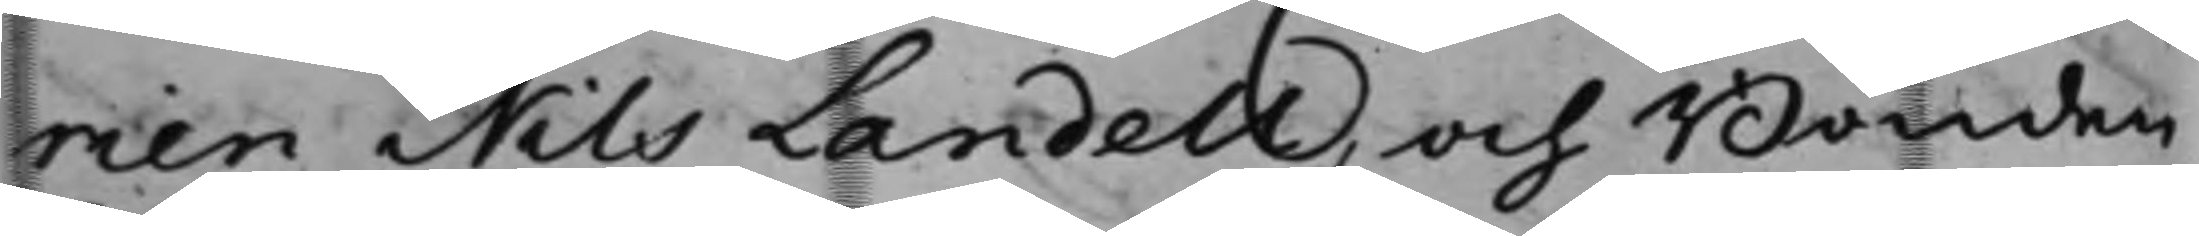rien Nils Landell, och Bonden
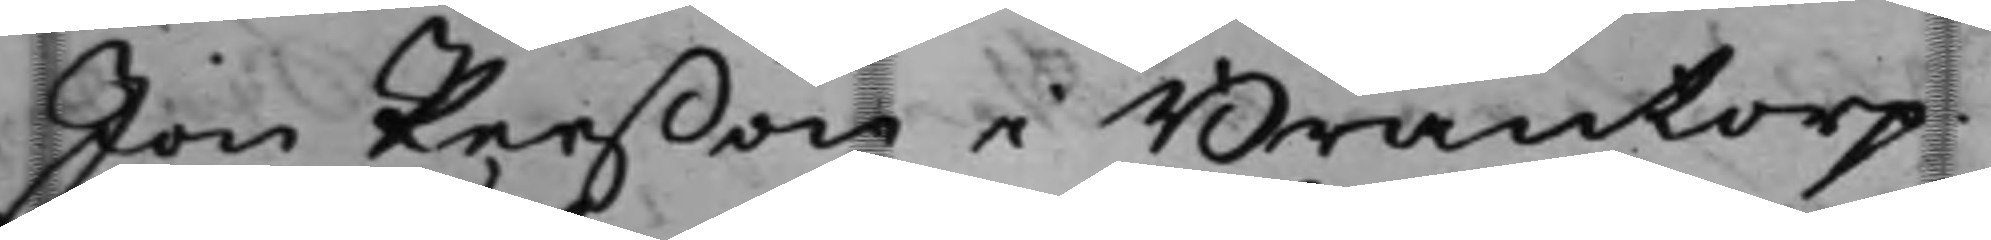Jon Perßon i Brantorp.
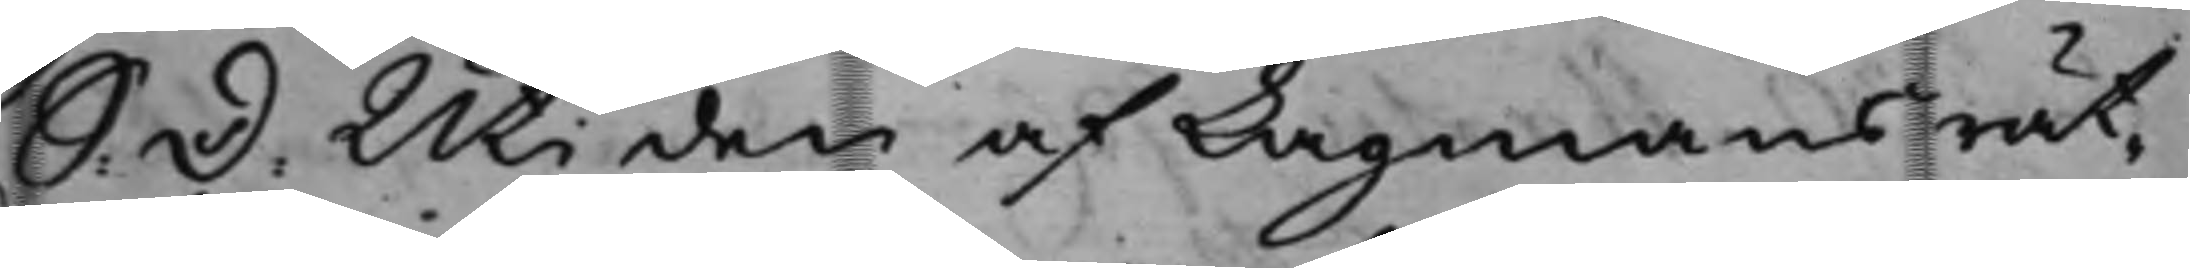S. D. Uti den af Lagmansrät¬
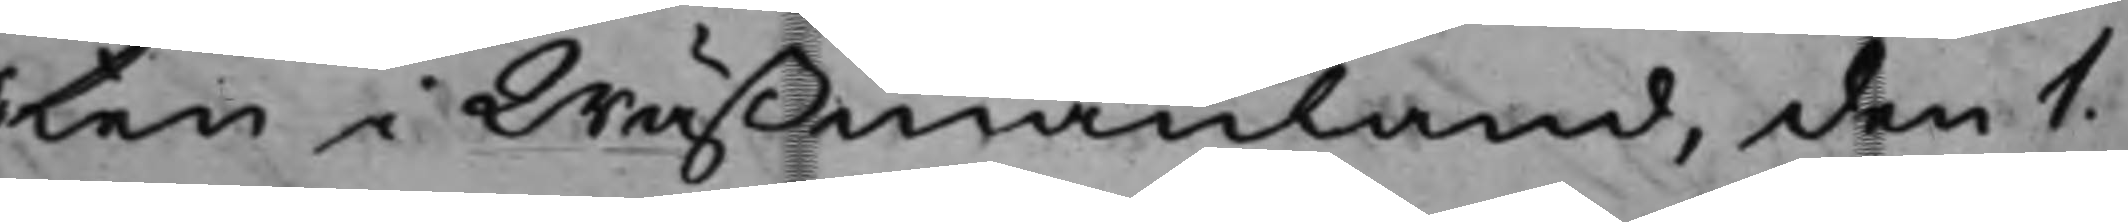ten i Wäßmanland, den 1.
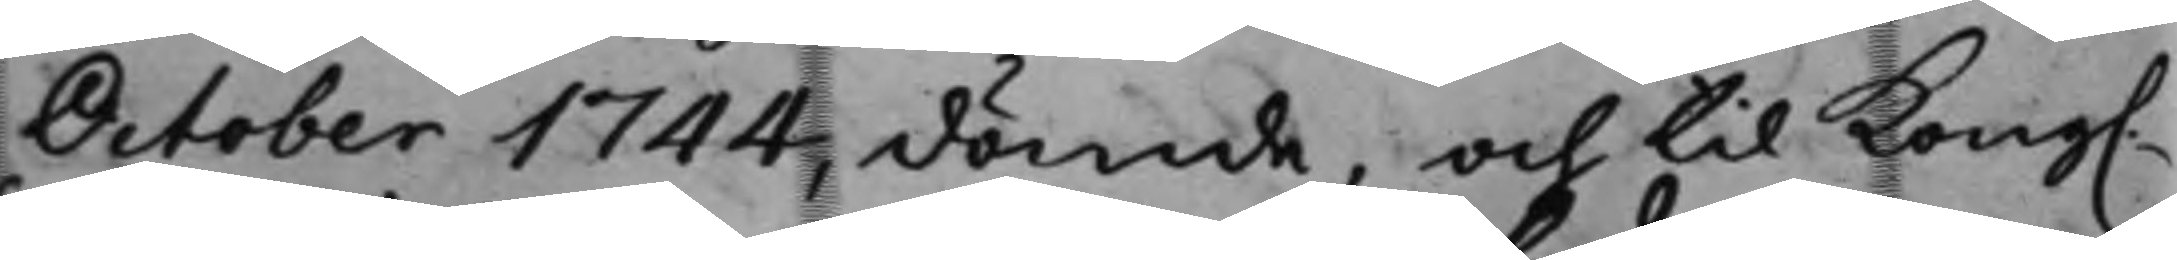October 1744, dömde, och til Kong.
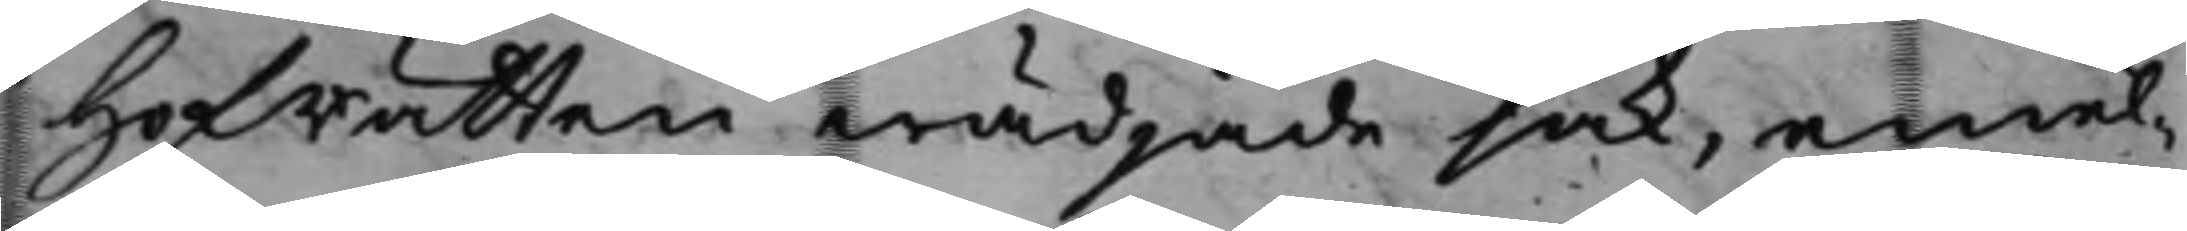Hofrätten wädjade sak, emel¬
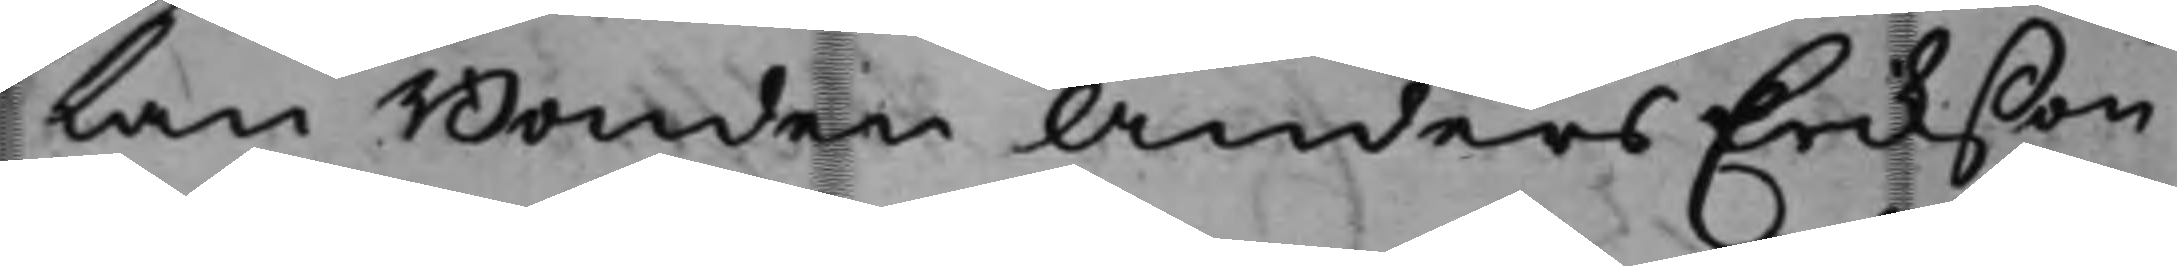lan Bonden Anders Erikßon
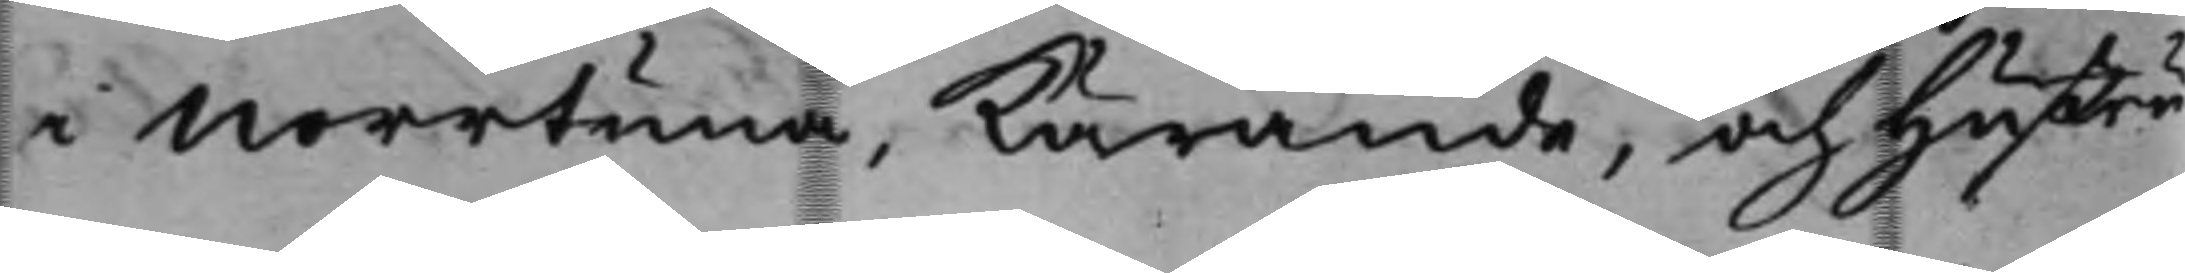i Norrtuna, kärande, och Hustru
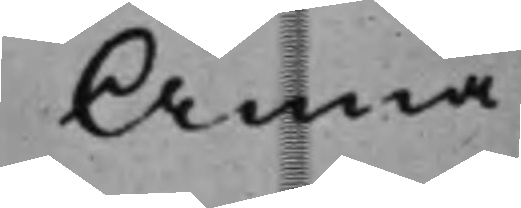Anna
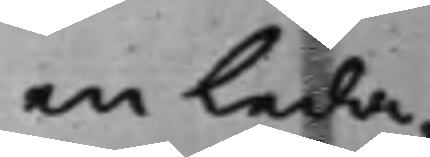en leda¬
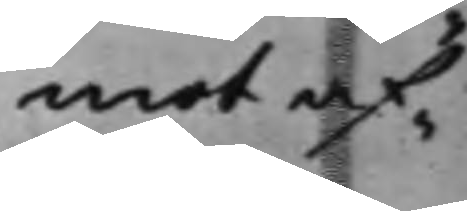mot af¬
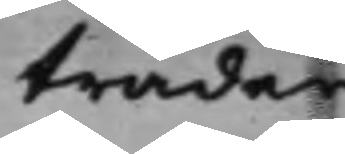träder.
